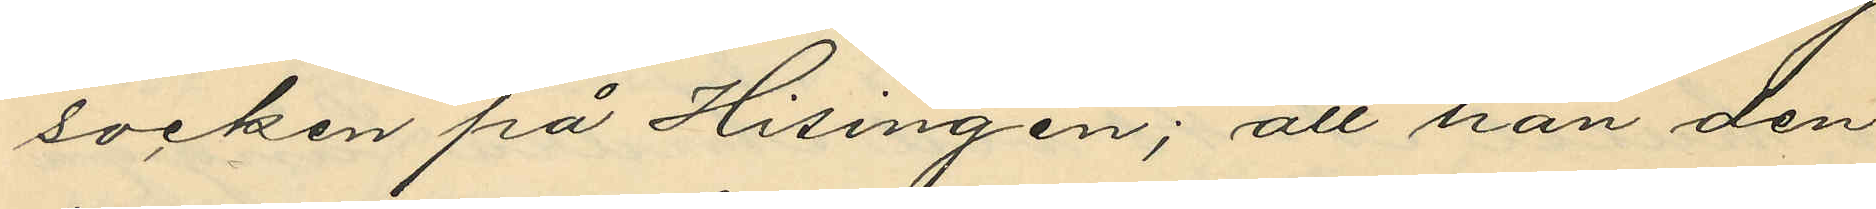socken på Hisingen; att han den
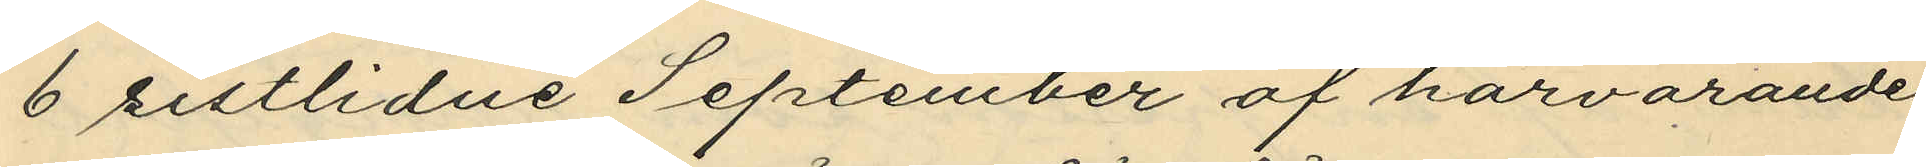6 sistlidne September af härvarande
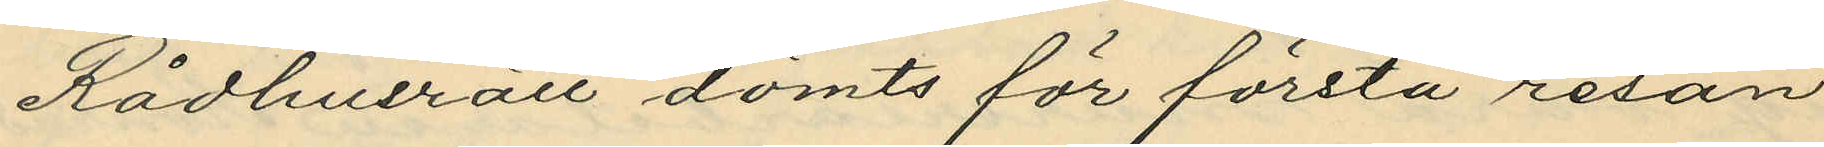Rådhusrätt dömts för första resan
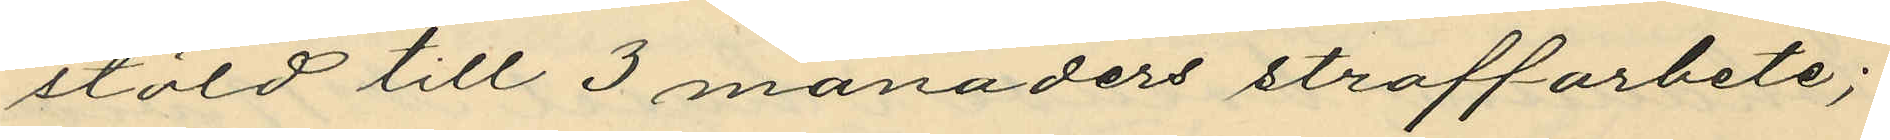stöld till 3 månaders straffarbete;
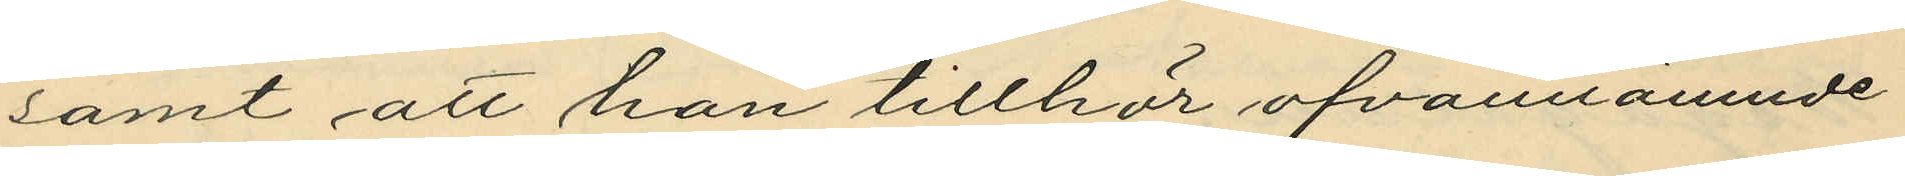samt att han tillhör ofvannämnde
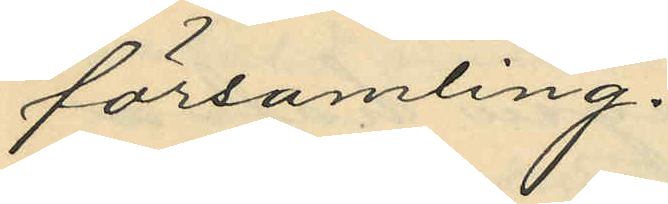församling.
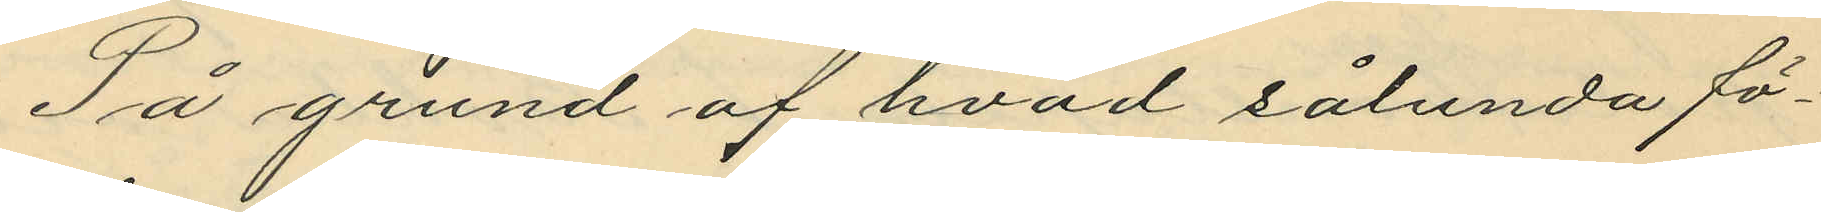På grund af hvad sålunda fö¬
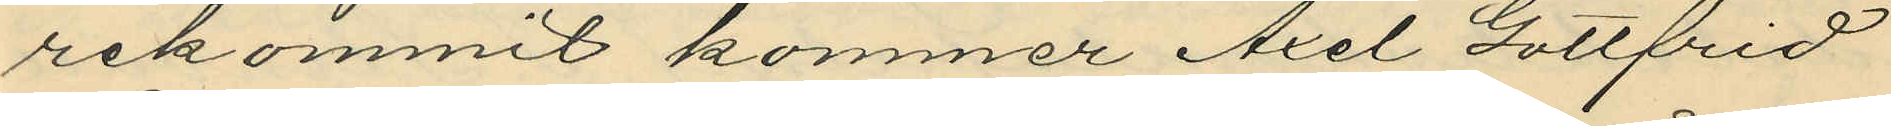rekommit kommer Axel Gottfrid
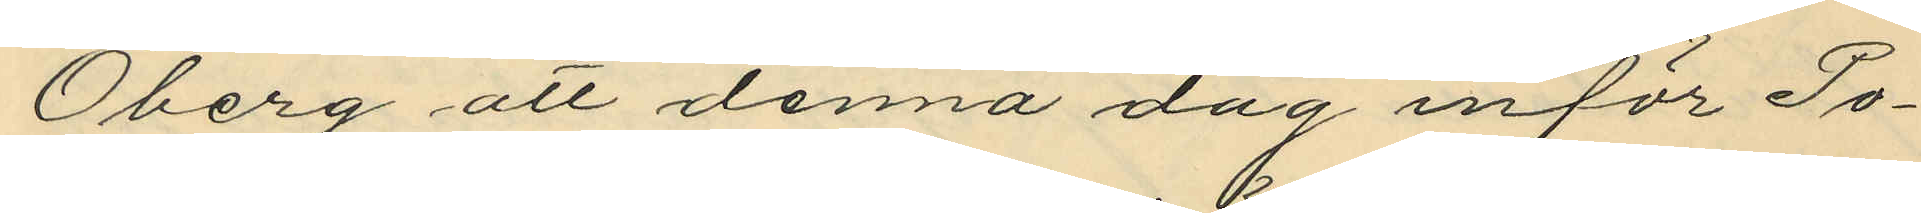Öberg att denna dag inför Po¬
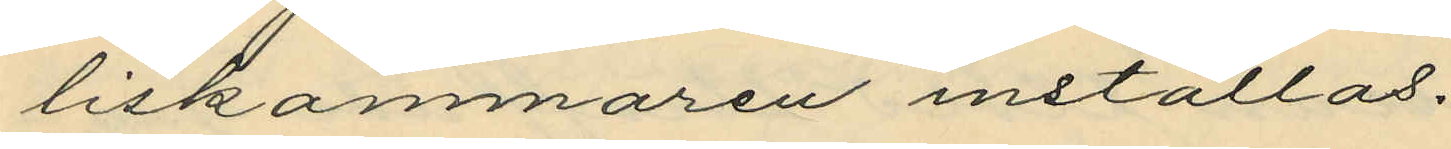liskammaren inställas.
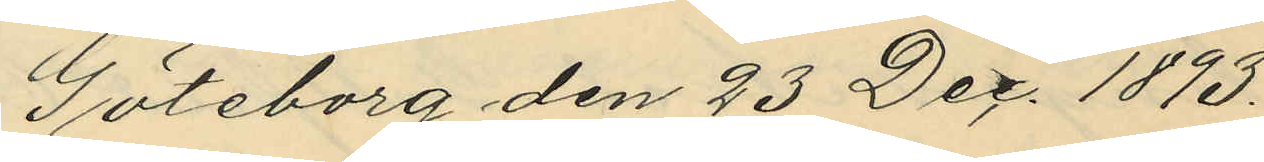Göteborg den 23 Dec. 1893.
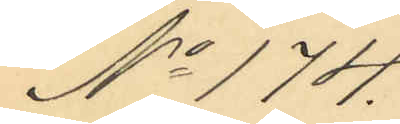No 174.
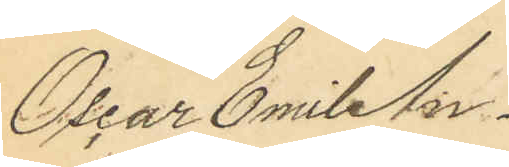Oscar Emil An¬
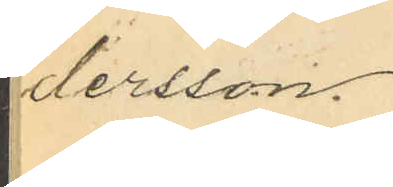dersson.
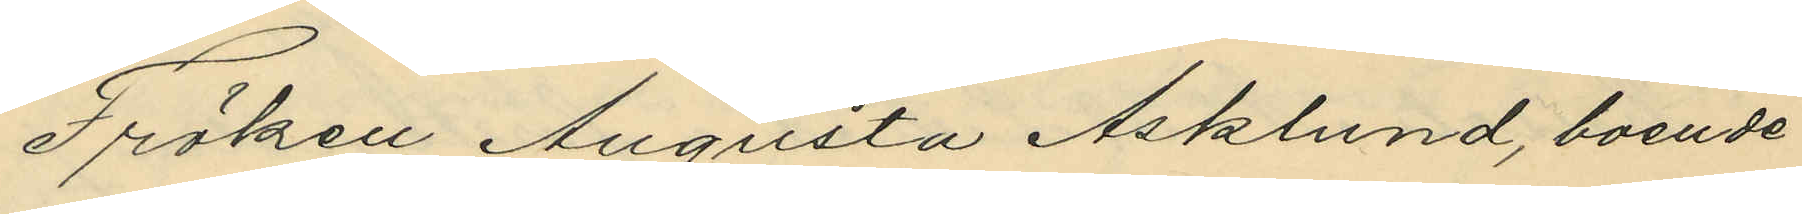Fröken Augusta Asklund, boende
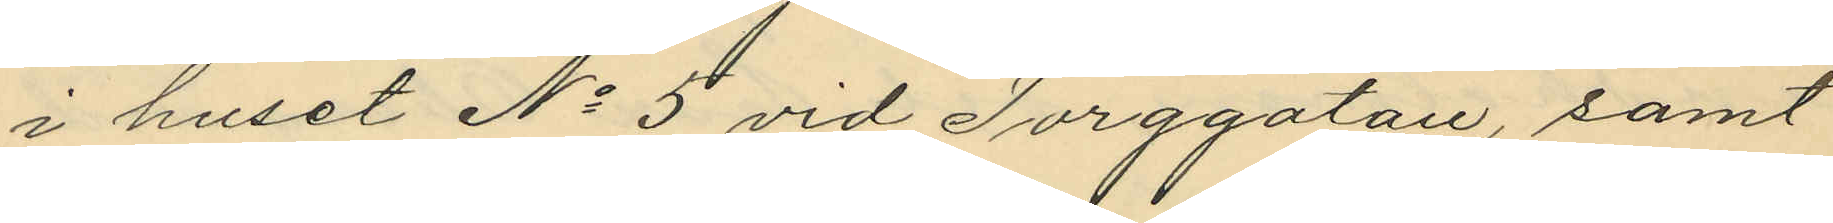i huset No 5 vid Torggatan, samt
